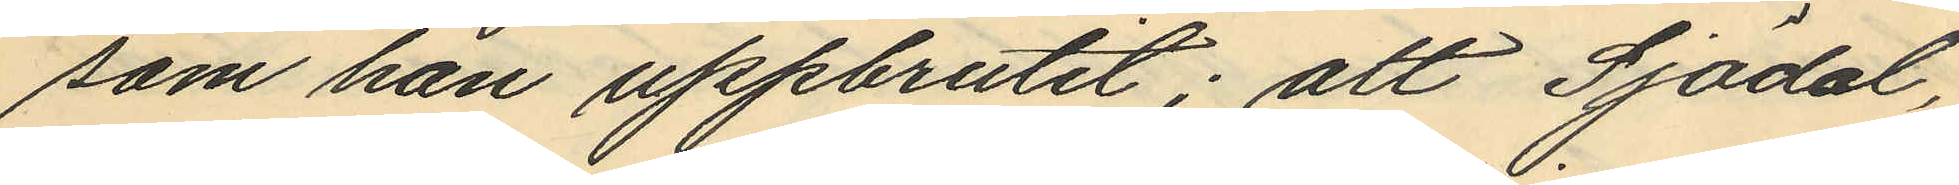som han uppbrutit; att Sjödal,
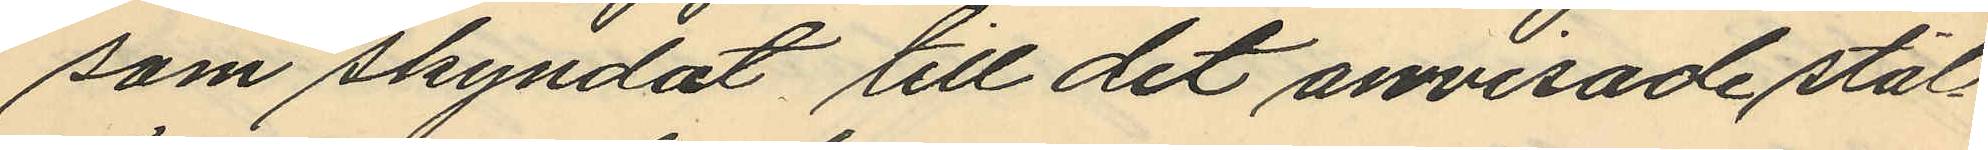som skyndat till det anvisade stäl¬
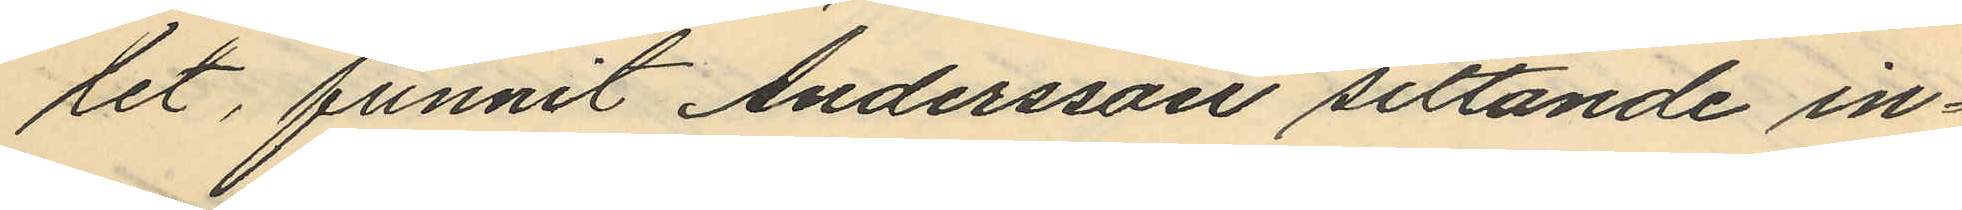let, funnit Andersson sittande in¬
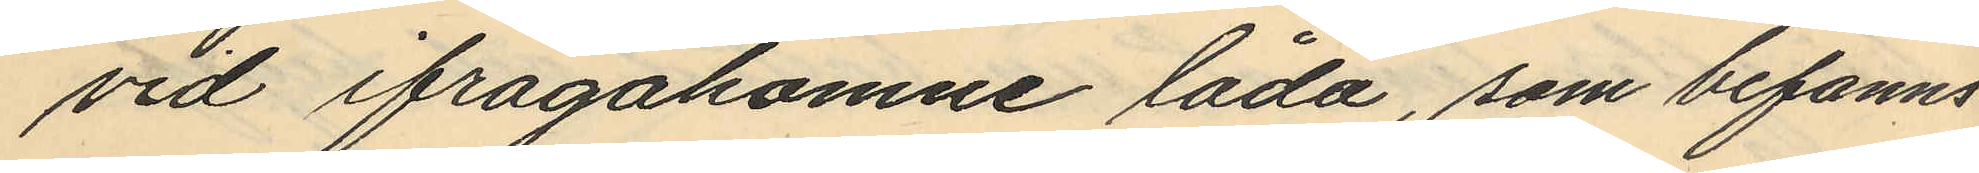vid ifrågakomne låda, som befanns
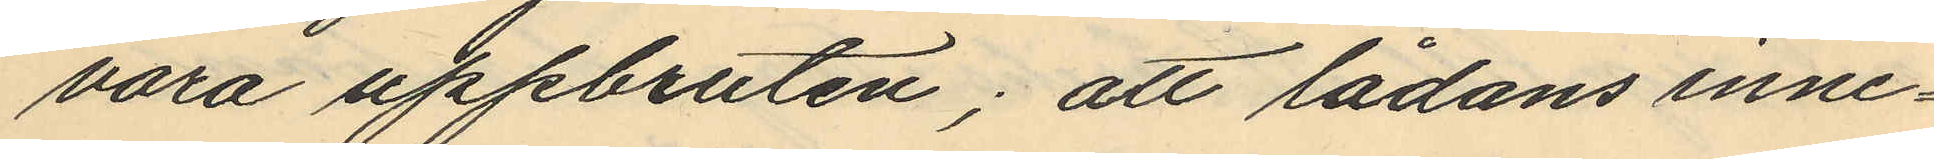vara uppbruten; att lådans inne¬
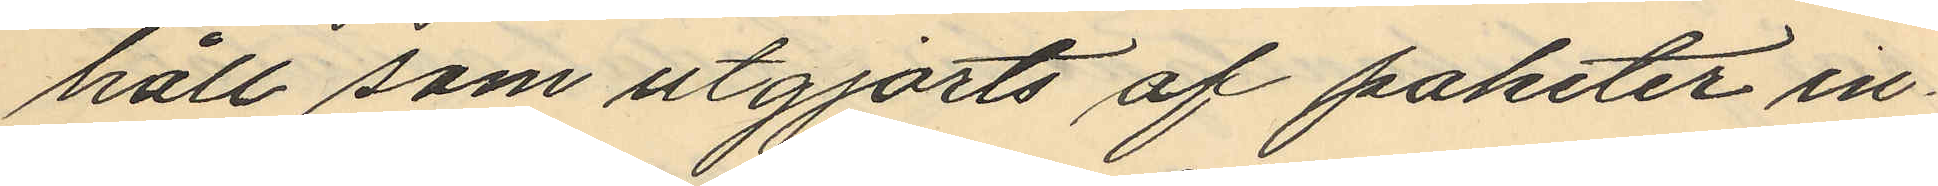håll som utgjorts af paketer in¬
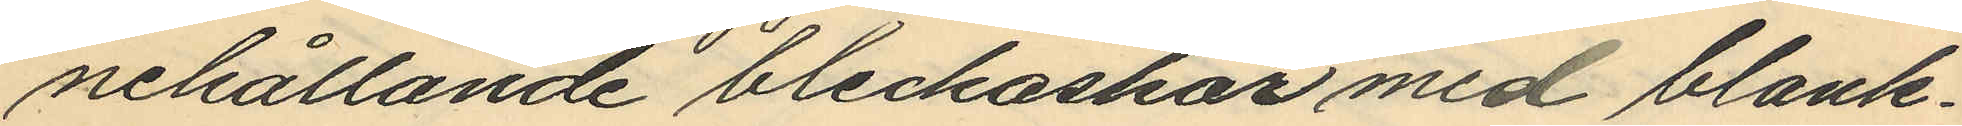nehållande bleckaskar med blank¬
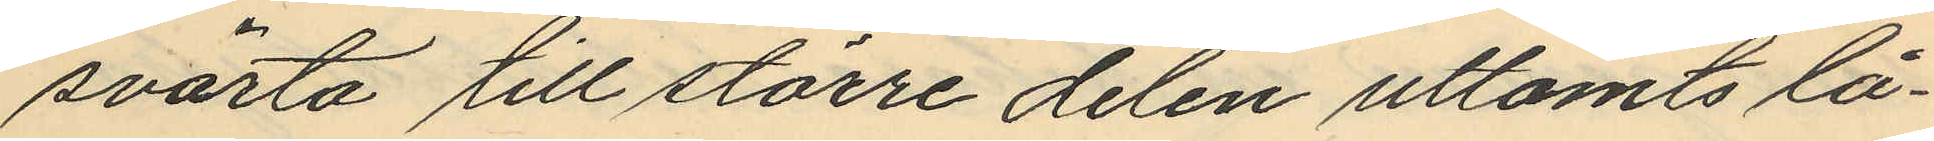svärta till större delen uttömts lå¬
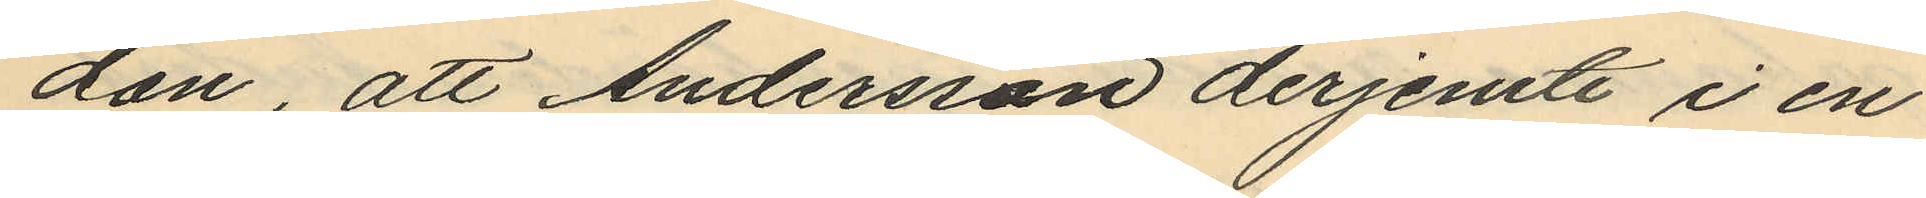dan, att Andersson derjemte i en
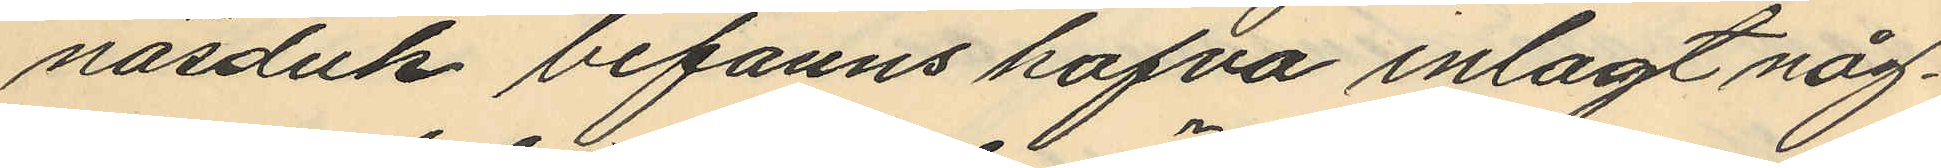näsduk befanns hafva inlagt någ¬
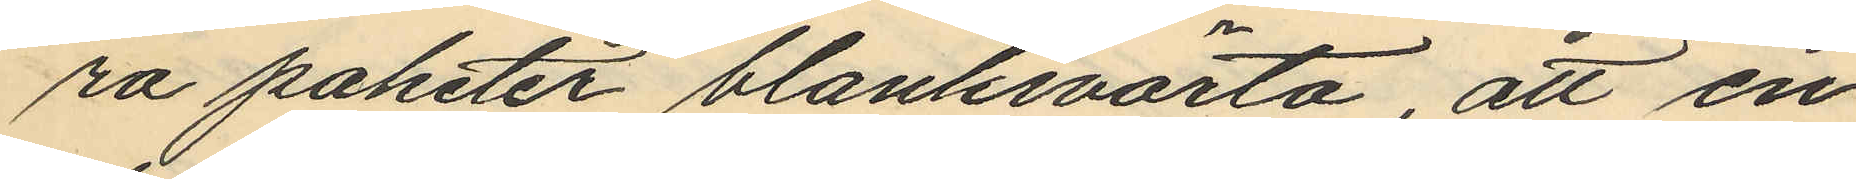ra paketet blanksvärta, att en
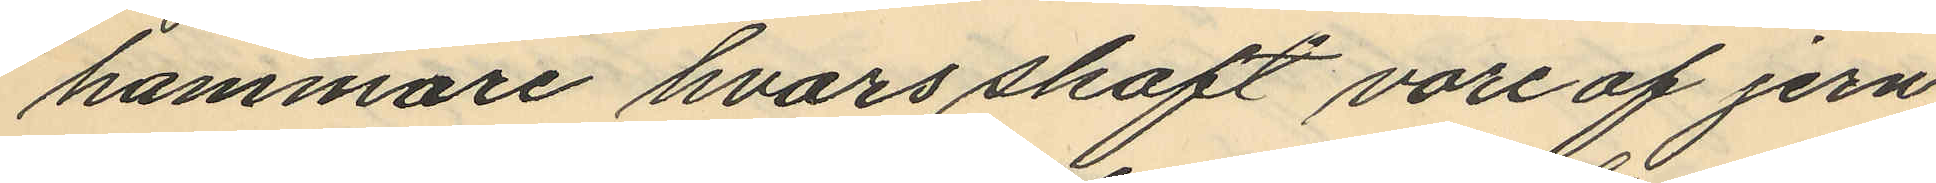hammare hvars skaft vore af jern
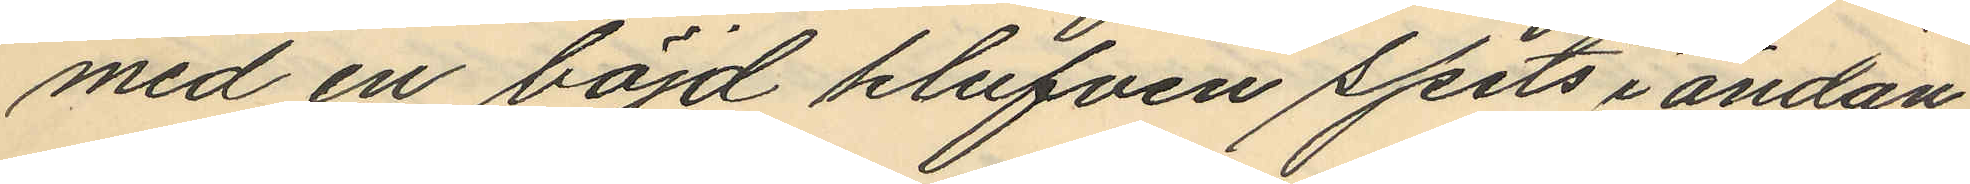med en böjd klufven spets i ändan
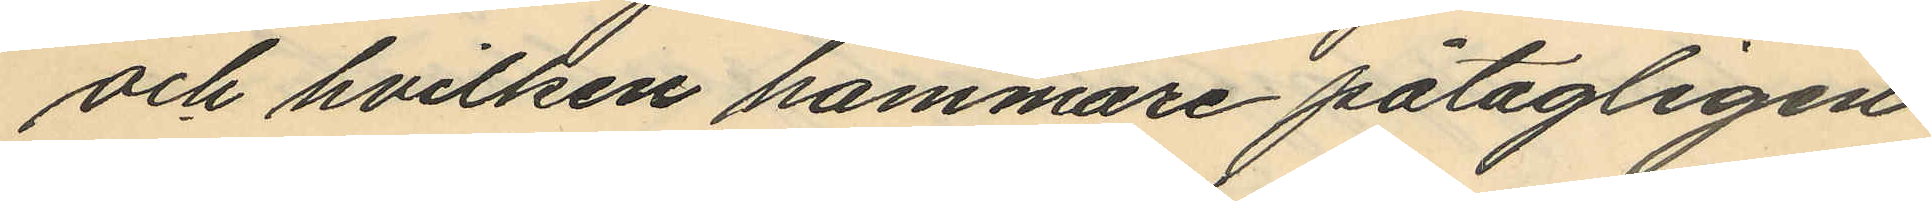och hvilken hammare påtagligen
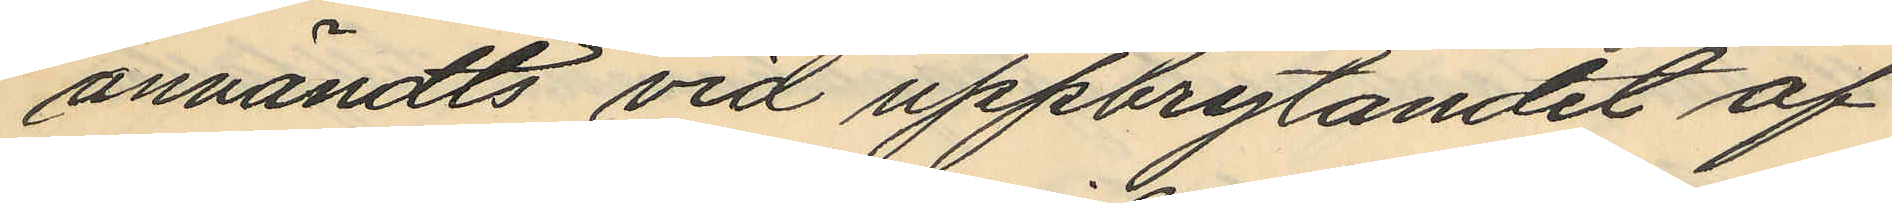användts vid uppbrytandet af
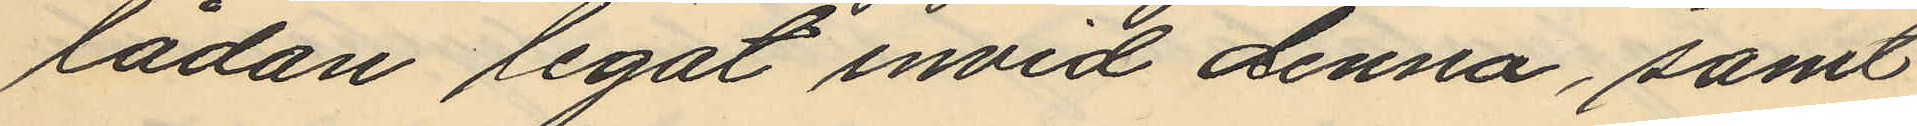lådan legat invid denna, samt
